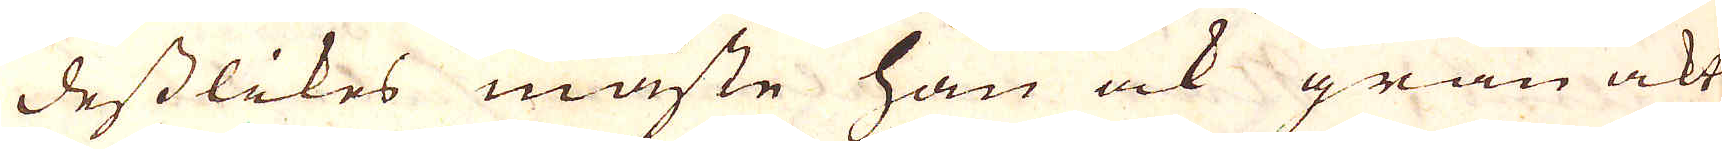desslikes måste han ock gran akt
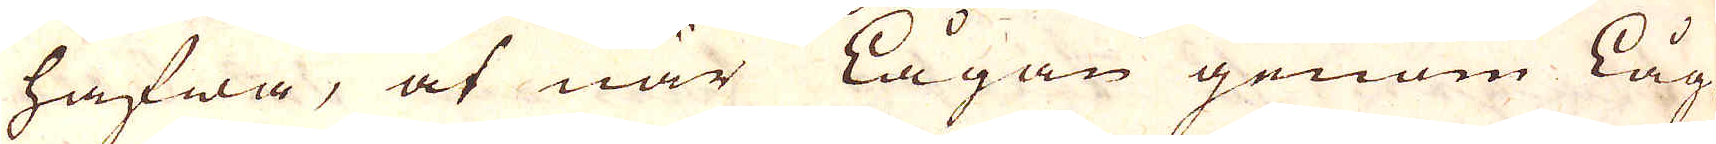hafwa, at när lågan genom Låg-
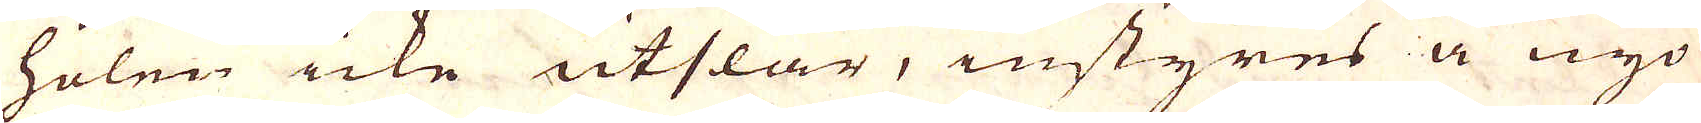holen icke utslår, instyres å nyo
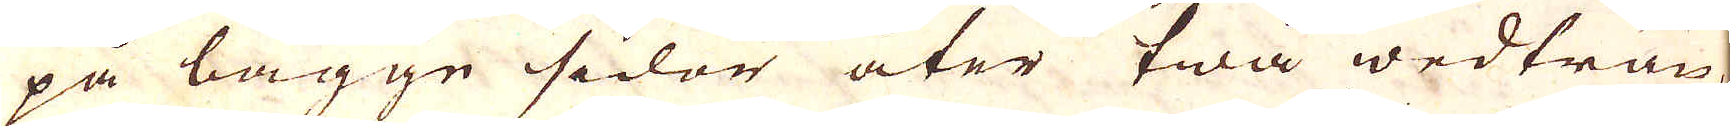på bägge sidor åter twå wedträn,
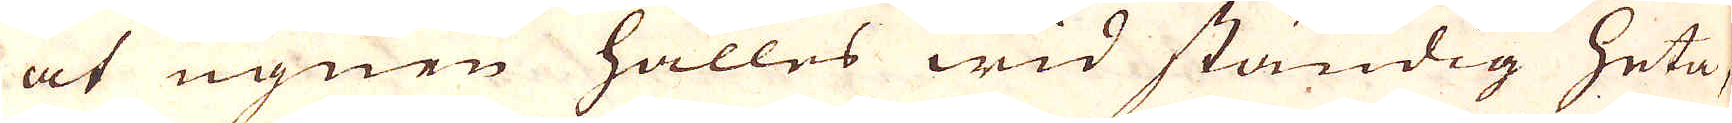at ugnen hålles wid ständig heta,
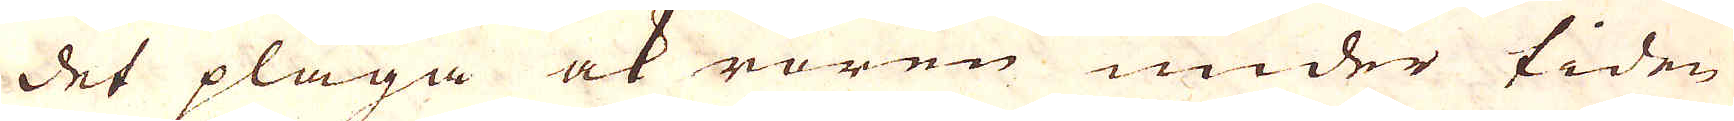det pläga ock rören under tiden
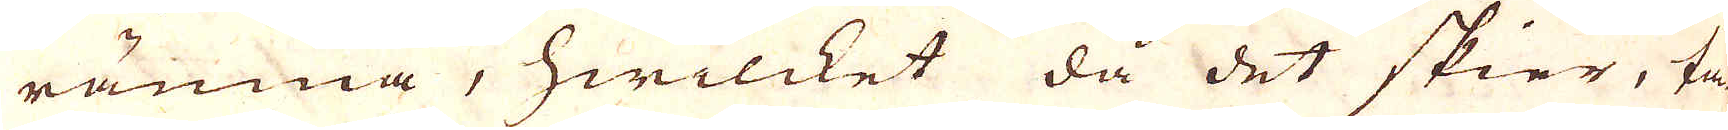rämna, hwilcket då det skier, ta-
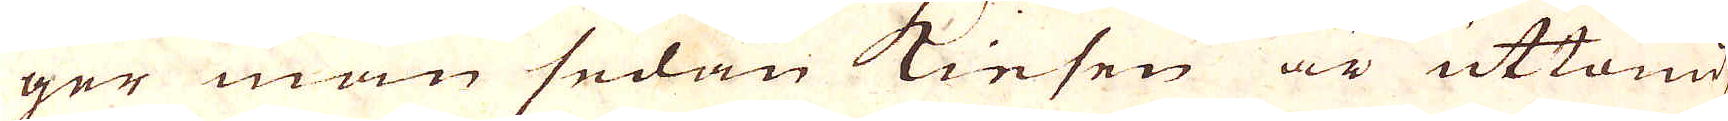ger man sedan Kiesen är uttömd
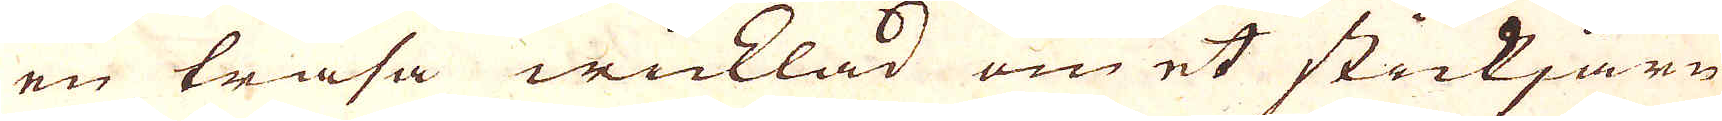en trasa wicklad om et stickjärn,
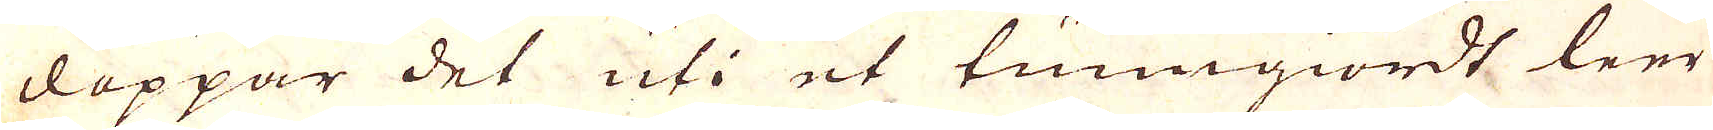doppar det uti et tunngiordt leer
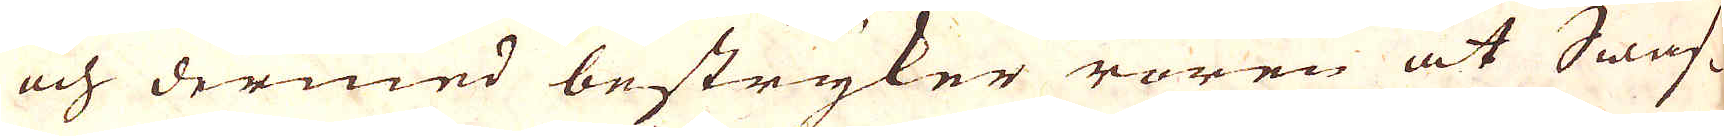och dermed bestryker rören at Swaf-
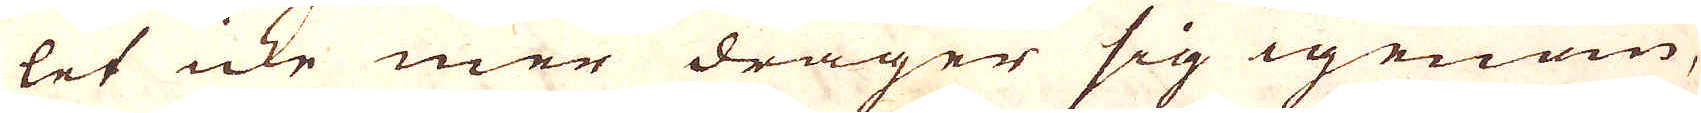let icke mer drager sig igenom,
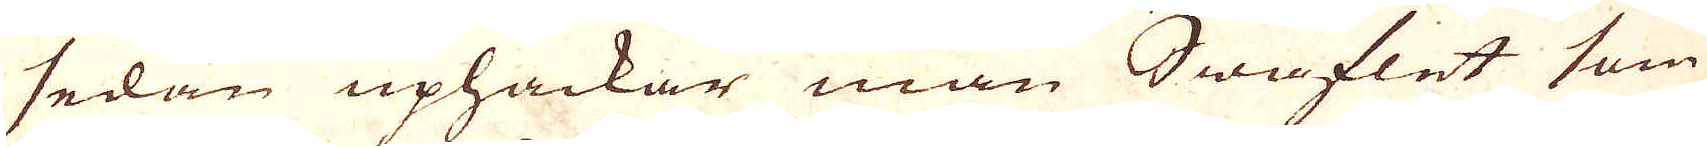sedan uphackar man Swaflet som
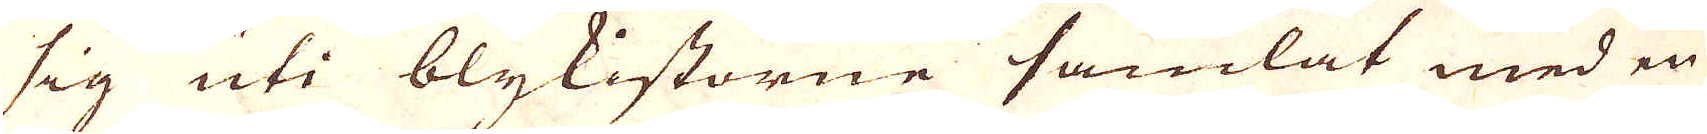sig uti blykistorne samlat med en
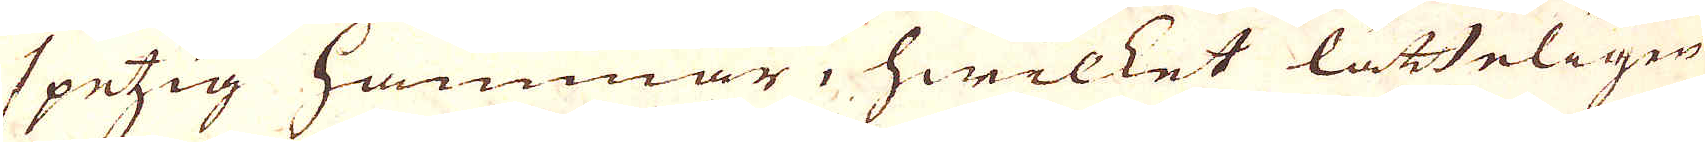spetzig Hammar, hwilket lätteligen
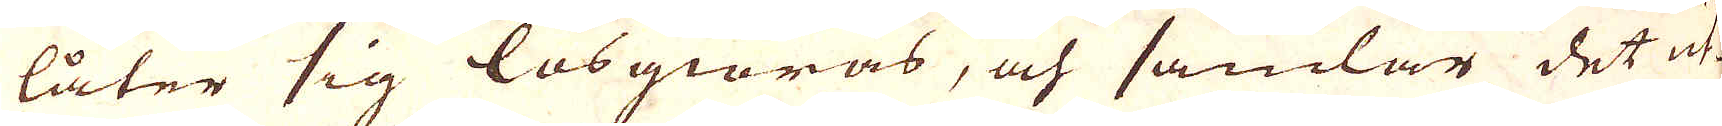låter sig lösgiöras, och samlar det ut-
